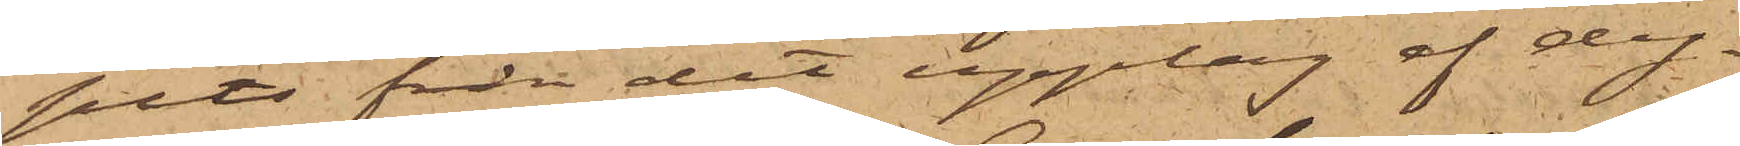pits från det upplag af dy¬
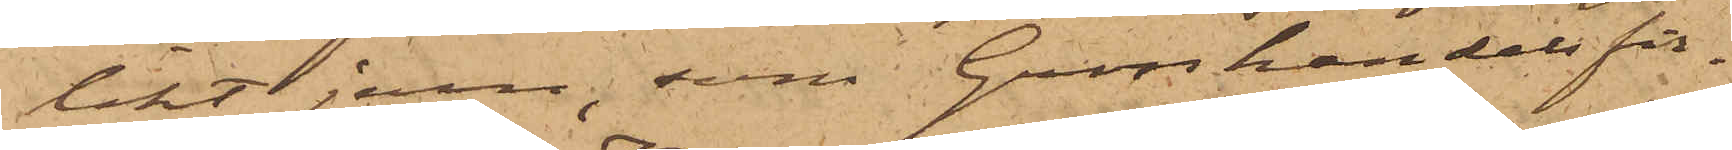likt jern, som Grosshandelsfir¬
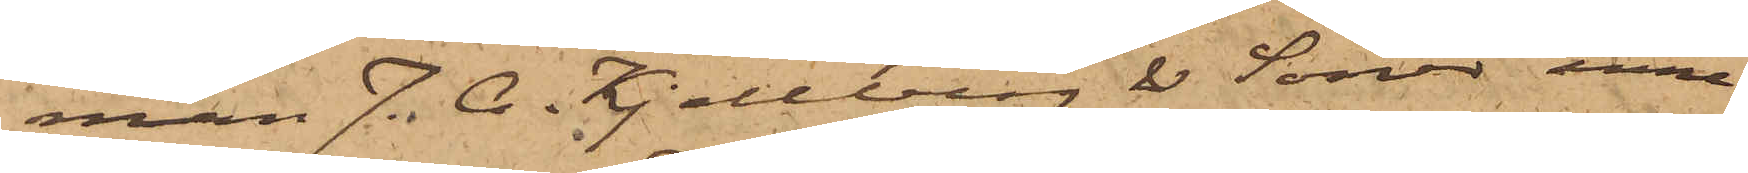man J. C. Kjellberg & Söner inne¬
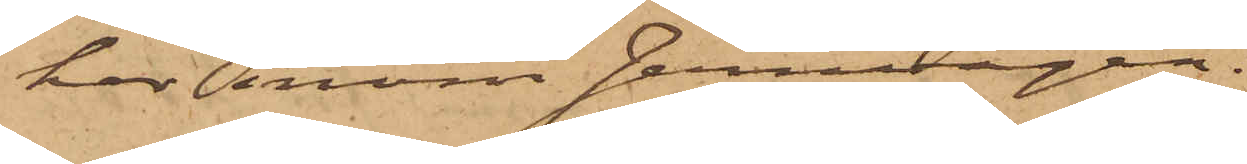har inom Jernvågen.
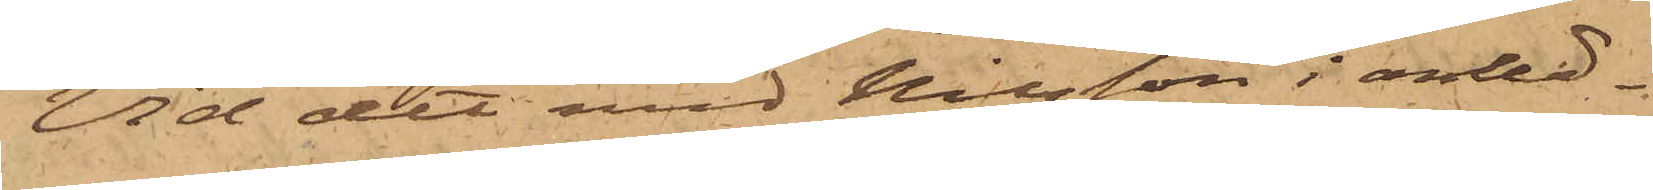Vid det med Nilsson i anled¬
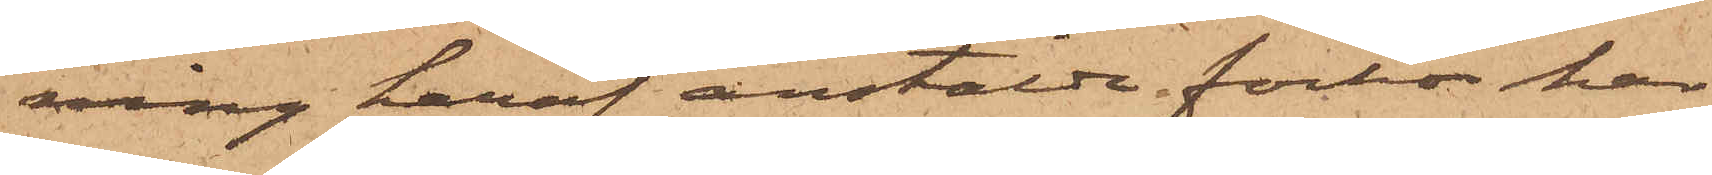ning häraf anstälde förhör har
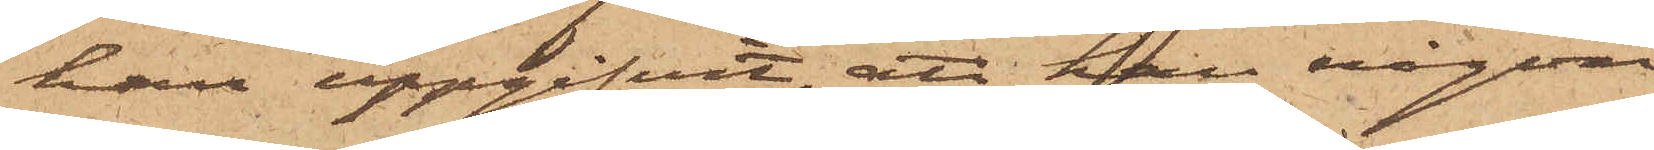han uppgifvit, att han någon
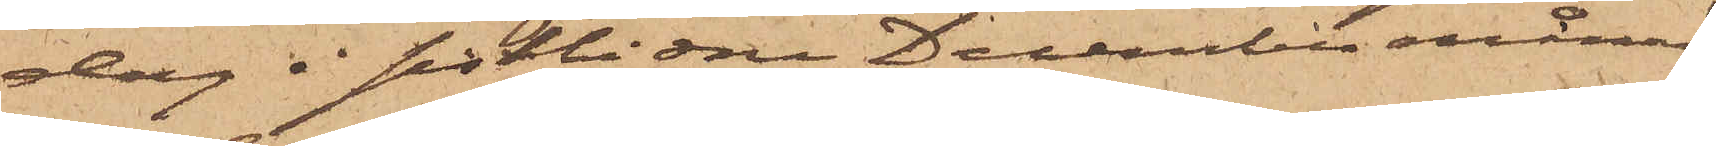dag i sistlidne December månad,
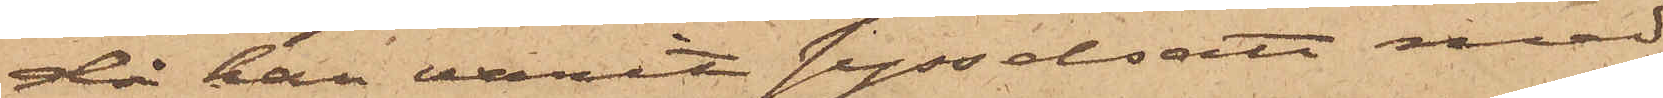då han varit sysselsatt med
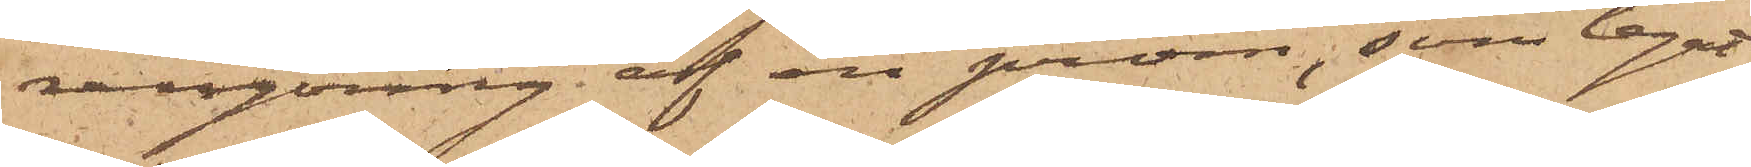rengöring af en pråm, som legat
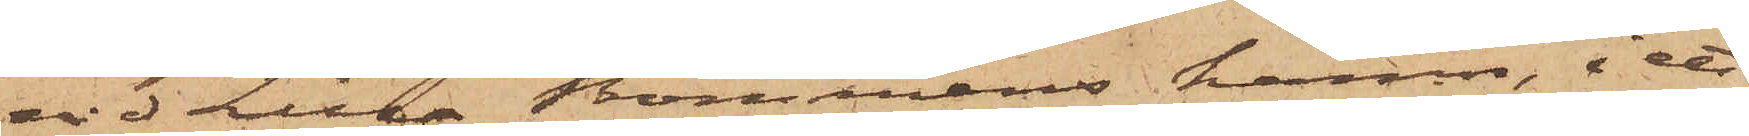vid Lilla Bommens hamn, i ett
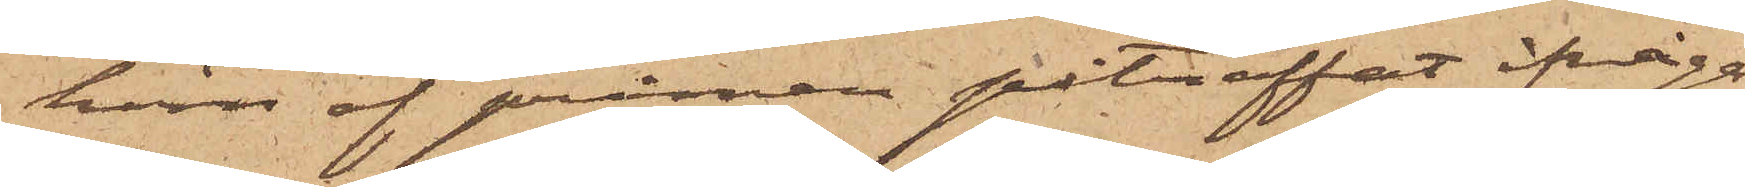hörn af pråmen påträffat ifråga¬
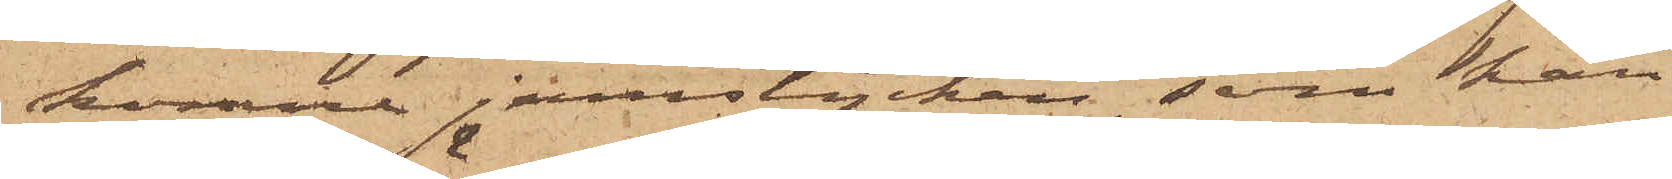komne jernstycken, som han
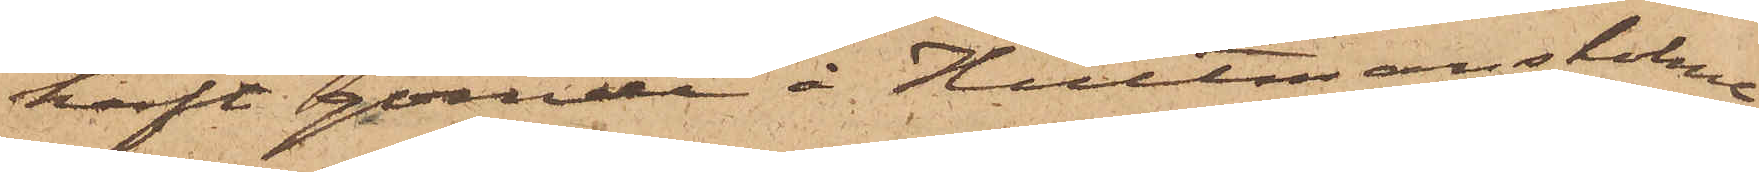haft gömde å Hultmansholme
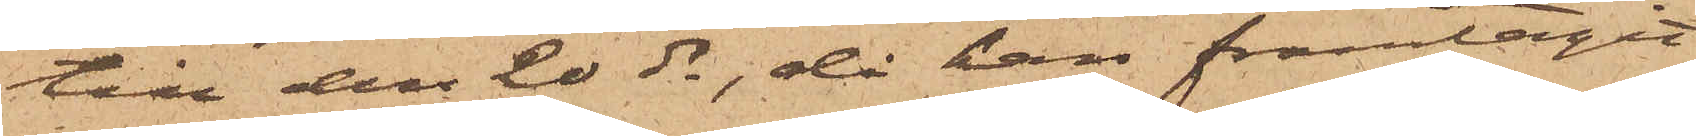till den 20 ds, då han framtagit
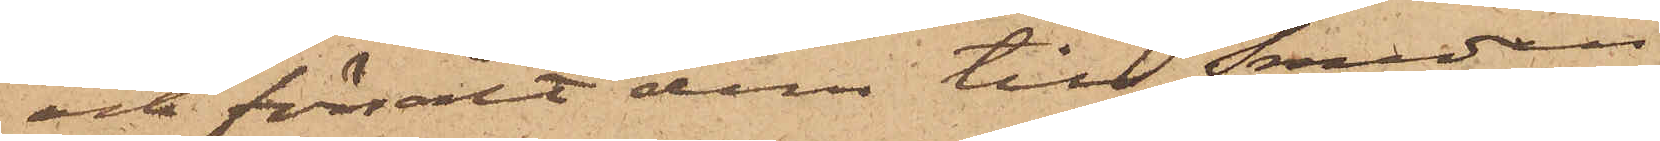och försålt dem till Smeden
